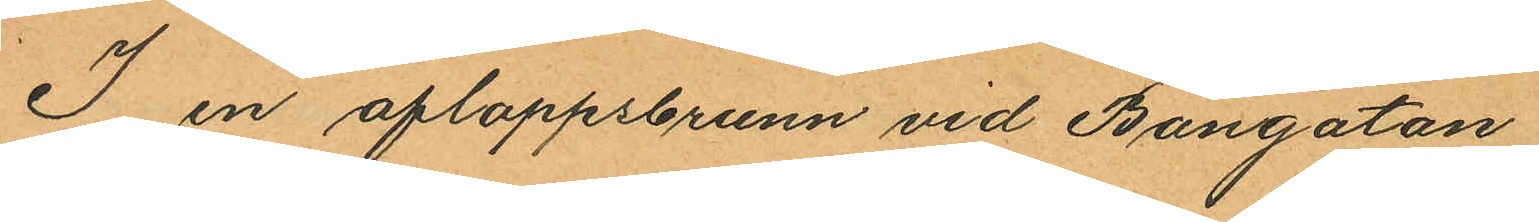I en afloppsbrunn vid Bangatan
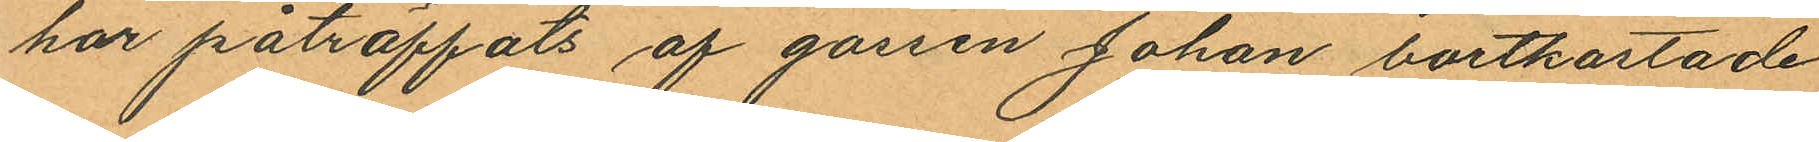har påträffats af gossen Johan bortkastade
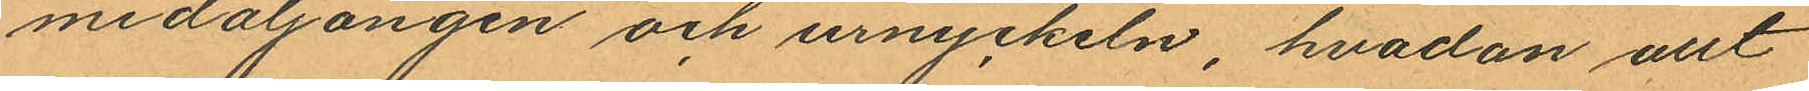medaljongen och urnyckeln, hvadan allt
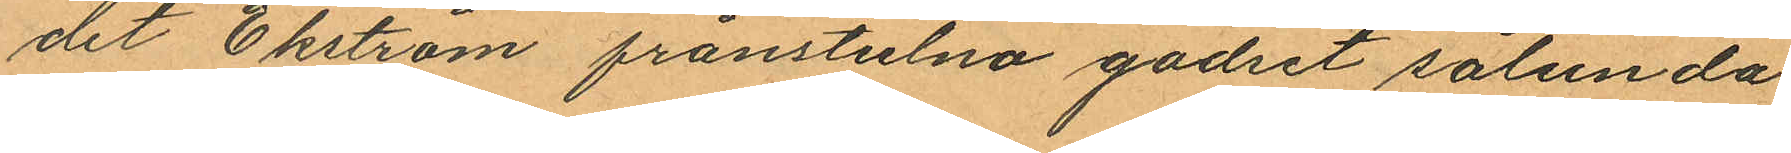det Ekström frånstulna godset sålunda
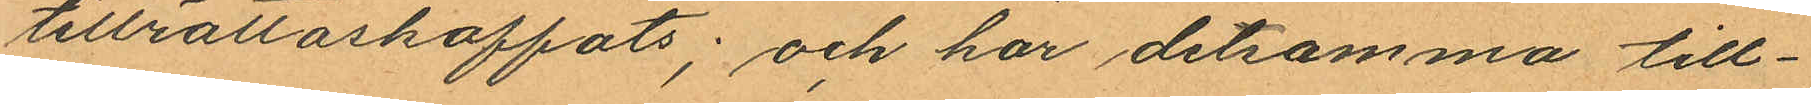tillrättaskaffats; och har detsamma till¬
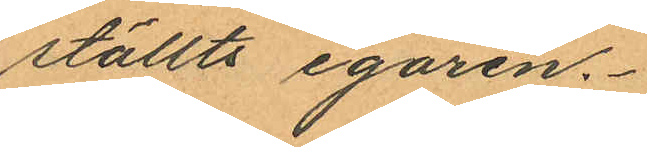ställts egaren.
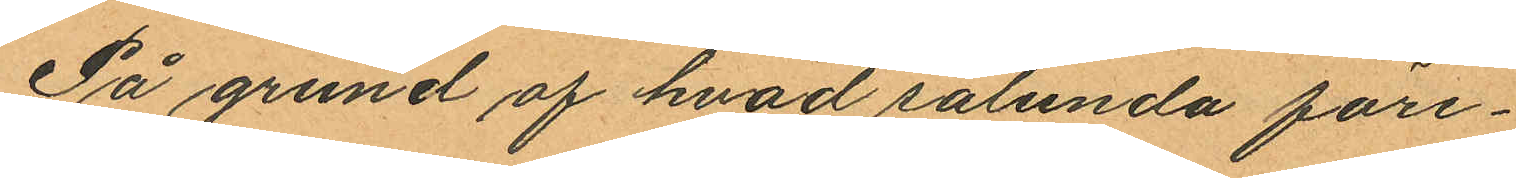På grund af hvad sålunda före¬
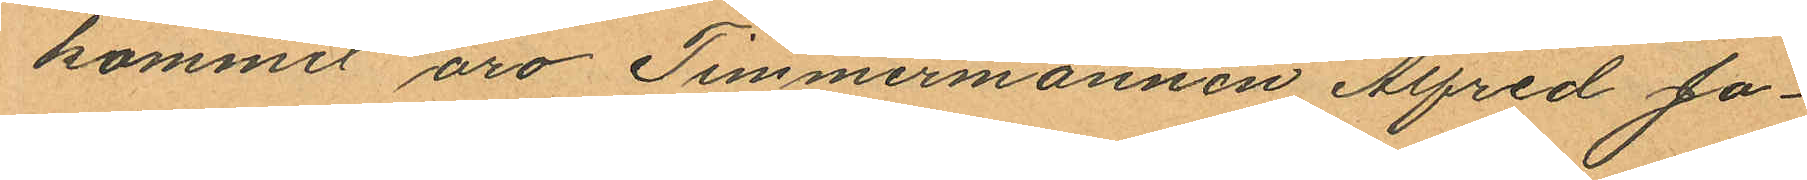kommit äro Timmermannen Alfred Jo¬
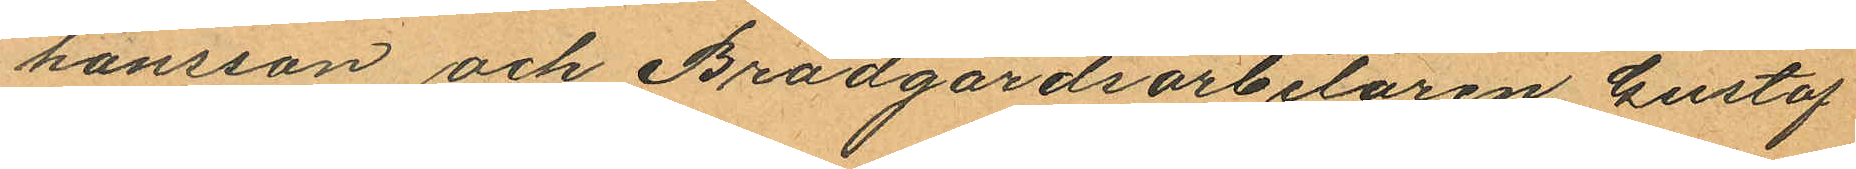hansson och Brädgårdsarbetaren Gustaf
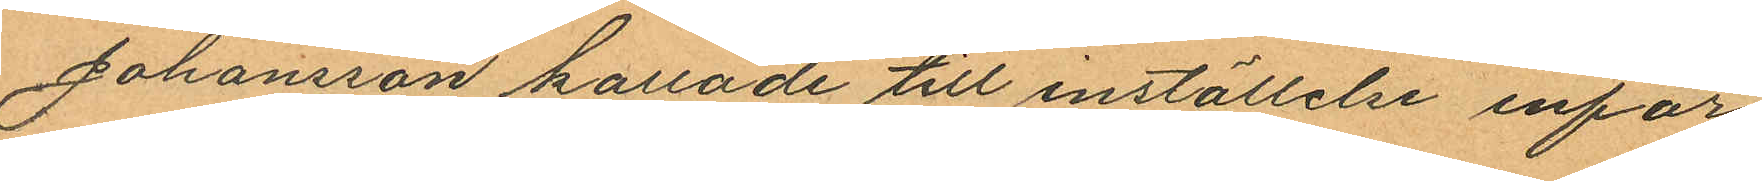Johansson kallade till inställelse inför
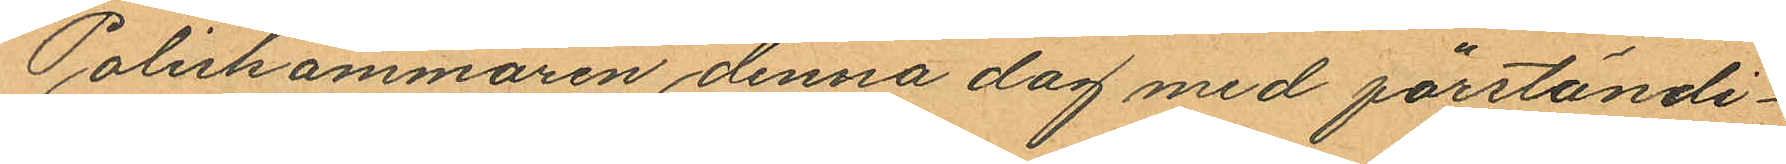Poliskammaren denna dag med förständi¬
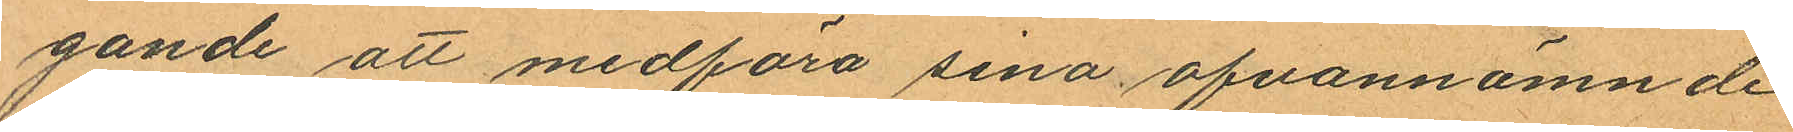gande att medföra sina ofvannämnde
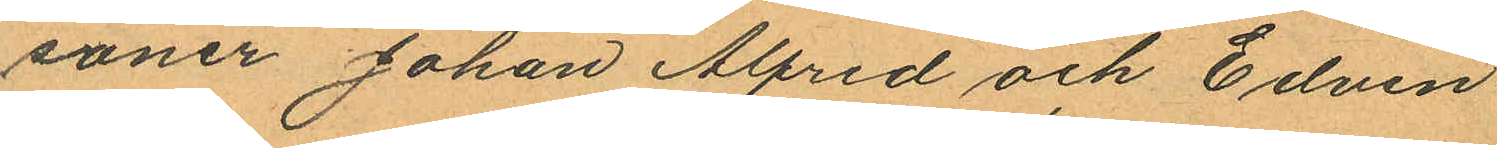söner Johan Alfred och Edvin
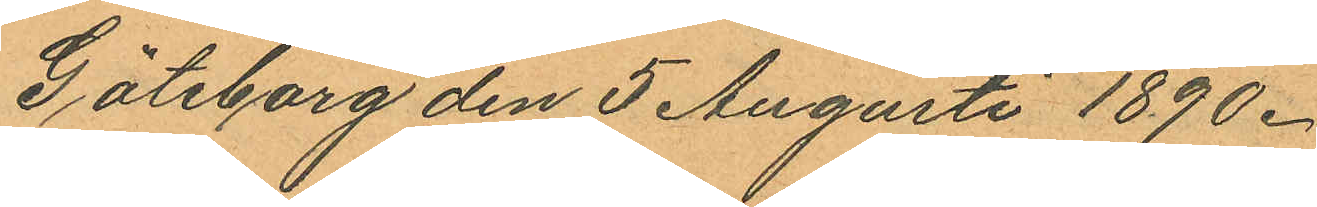Göteborg den 5 Augusti 1890.
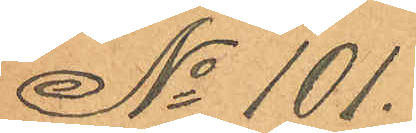No 101.
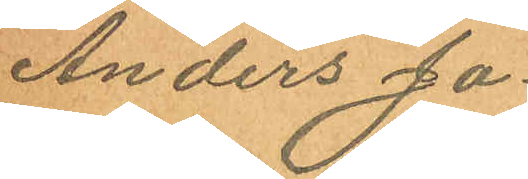Anders Jo¬
